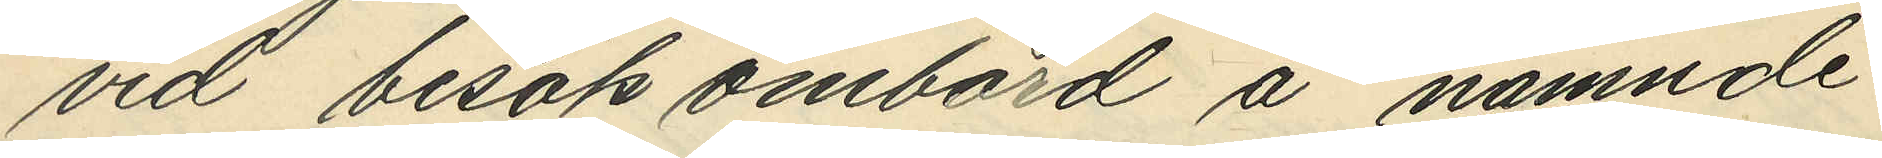vid besök ombord å nämnde
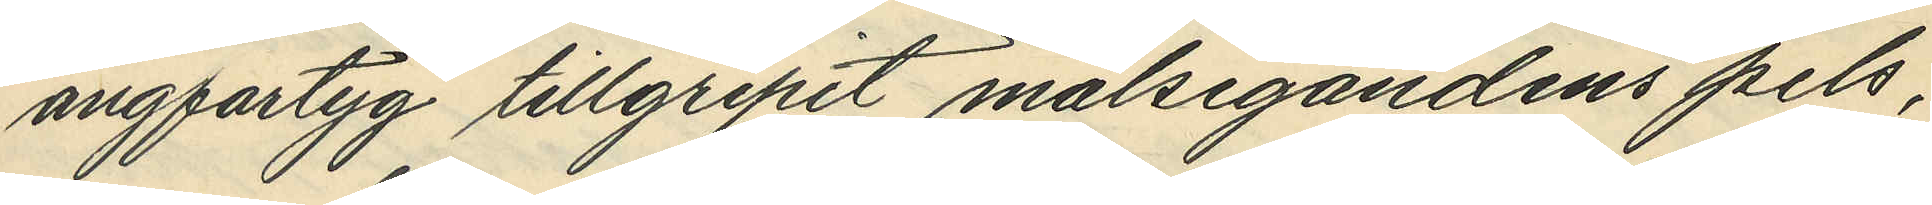ångfartyg tillgripit målsegandens pels,
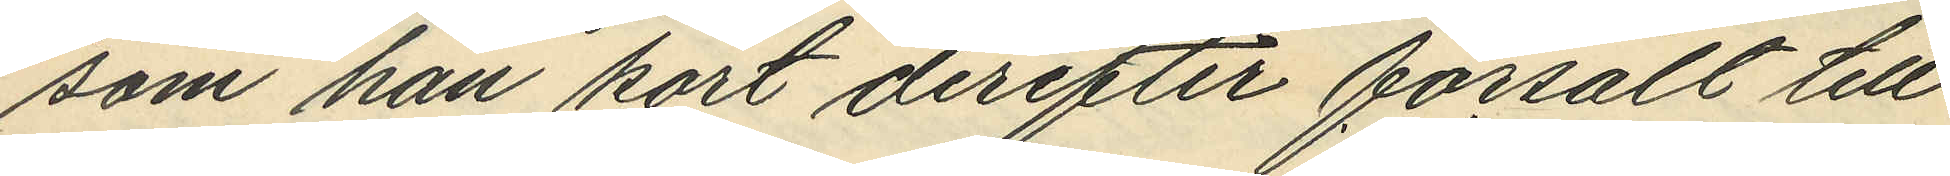som han kort derefter försålt till
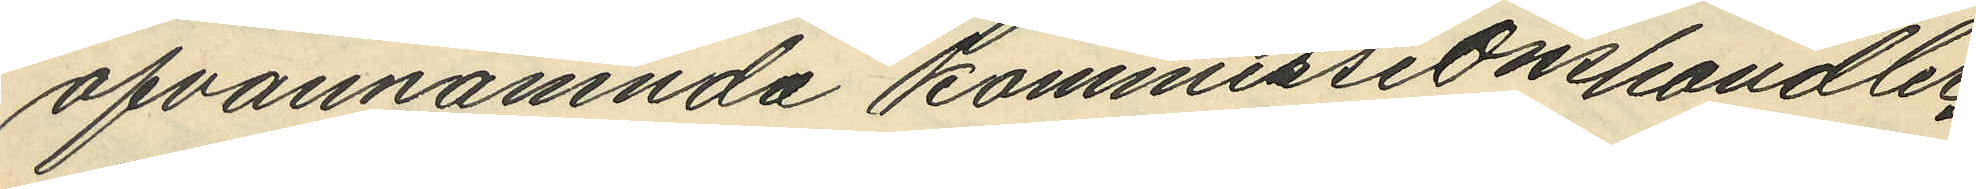ofvannämnda kommissionshandler¬
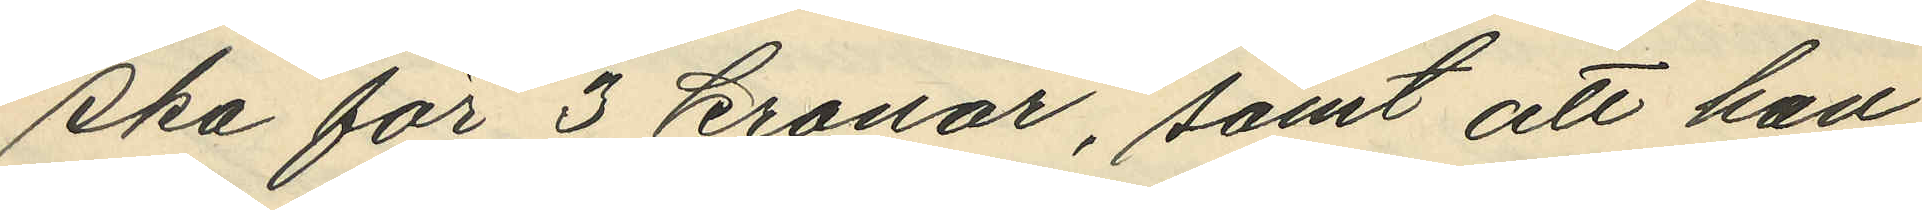ska för 3 Kronor, samt att han
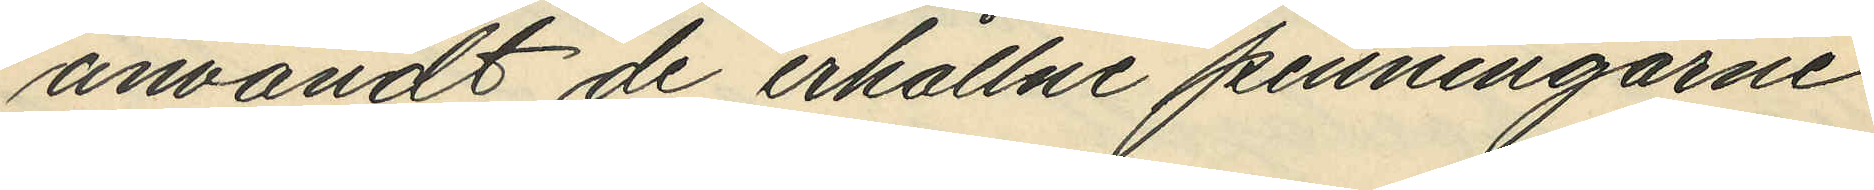amvändt de erhållne penningarne
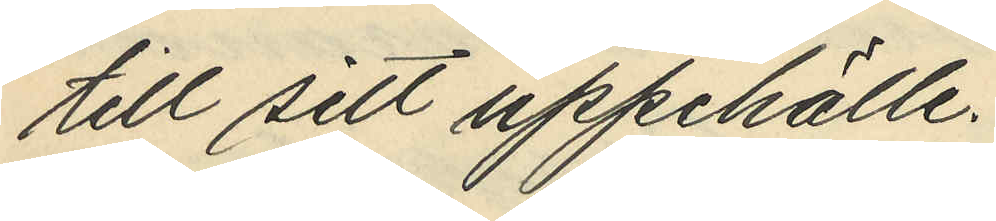till sitt uppehälle.
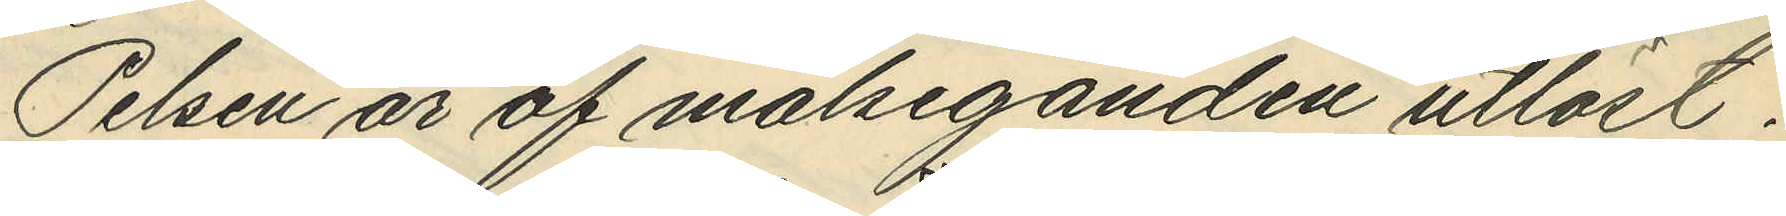Pelsen är av målseganden utlöst.
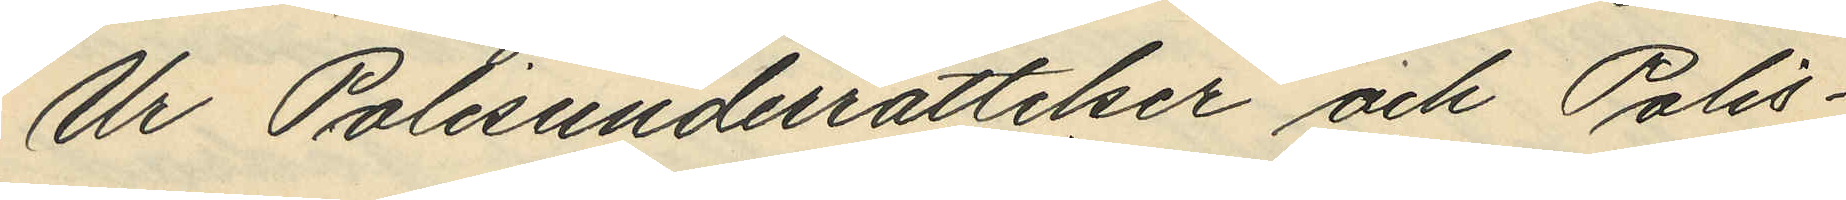Ur Polisunderrättelser och Polis¬
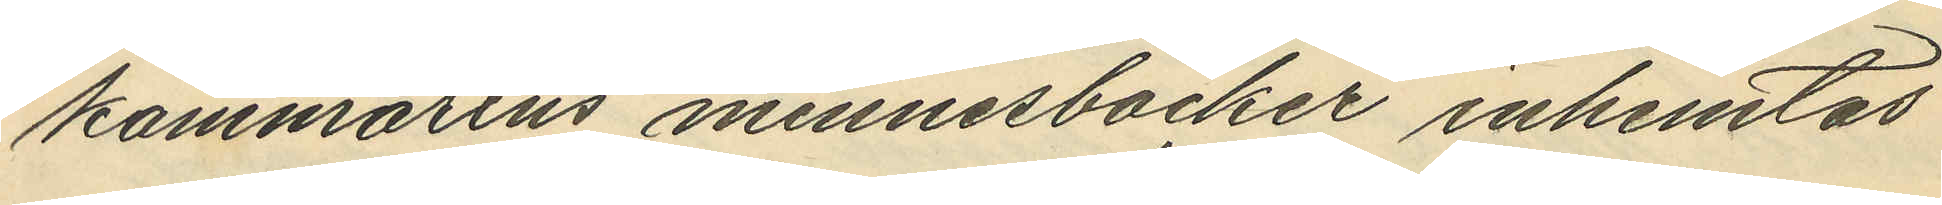kammarens minnesböcker inhämtas
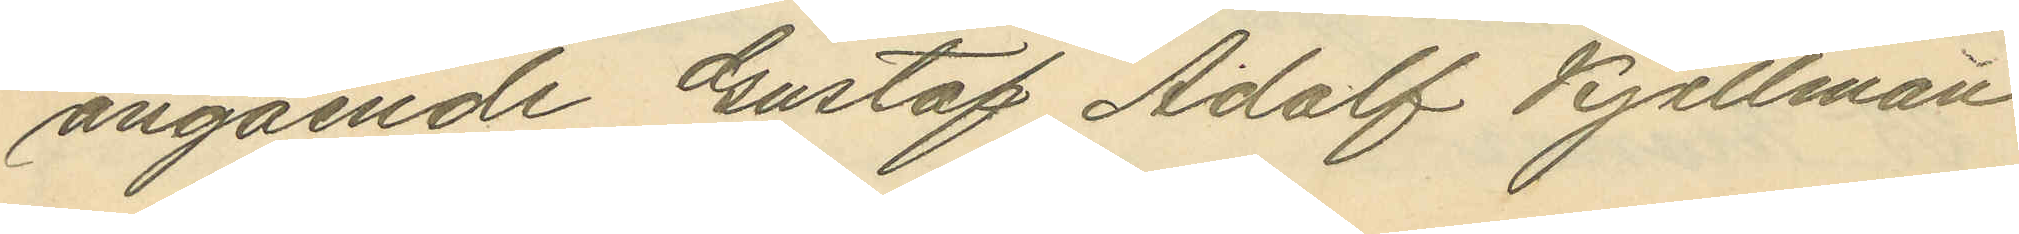angående Gustaf Adolf Kjellman
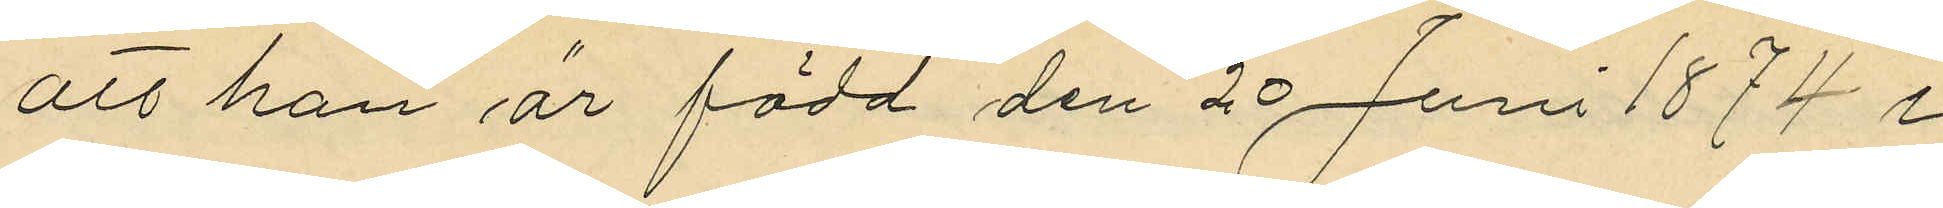att han är född den 20 Juni 1874 i
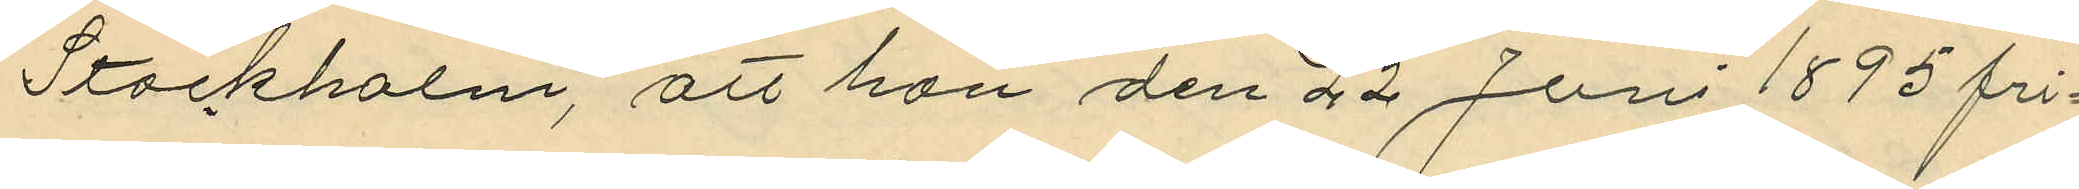Stockholm, att han den 22 Juni 1895 fri¬
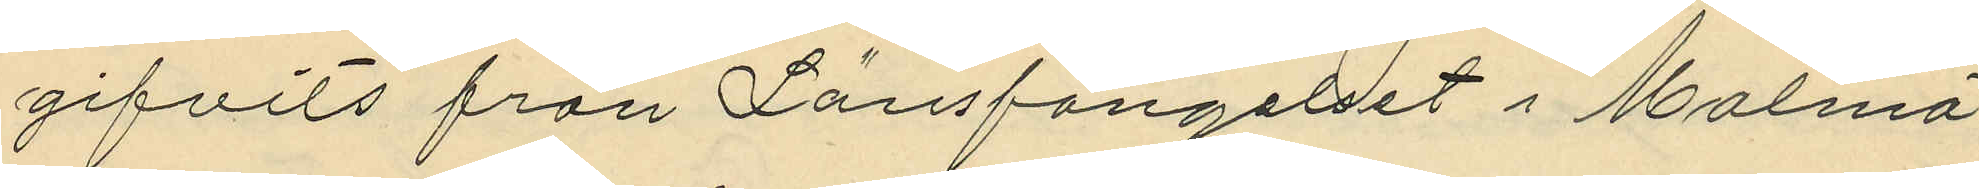gifvits från Länsfängelset i Malmö
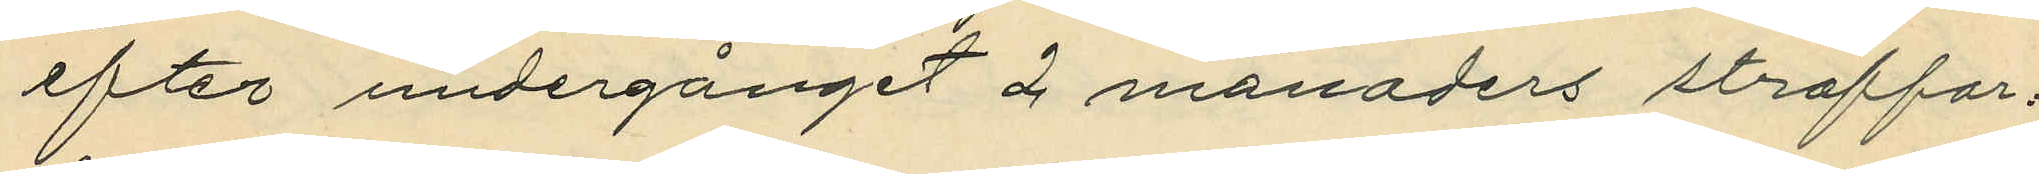efter undergånget 2 månaders straffar¬
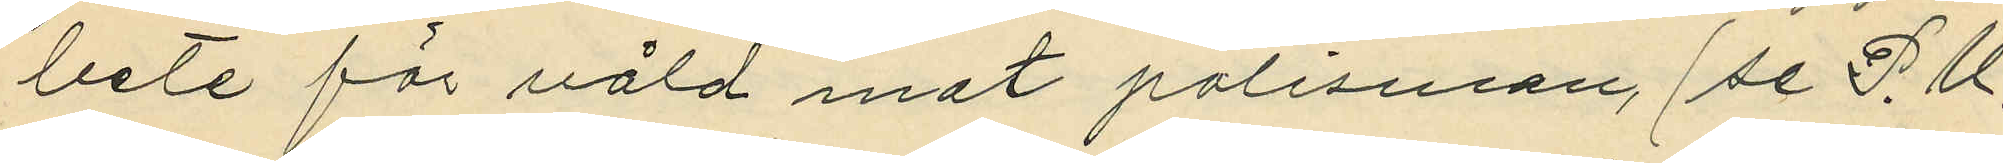bete för våld mot polisman (se P.U.
